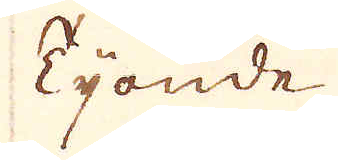Tionde
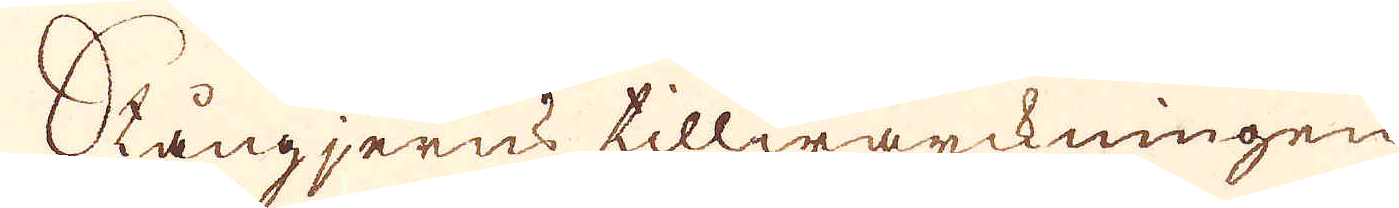Stångjerns tillwärckningen
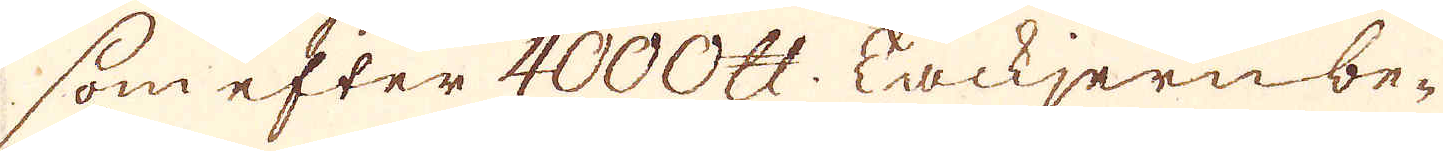som efter 4000. skålpund: Tackjern be-
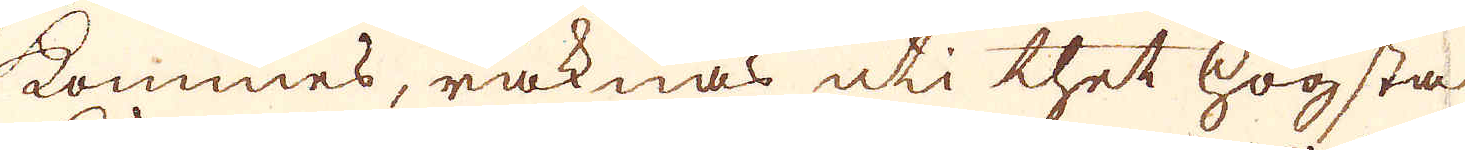kommes, räknas uti thet högsta
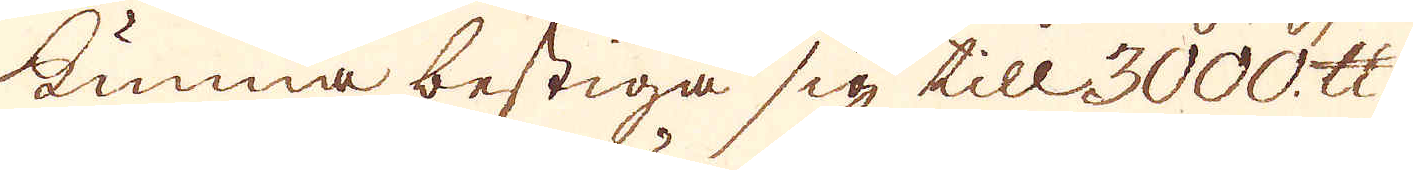kunna bestiga sig till 3000. skålpund;
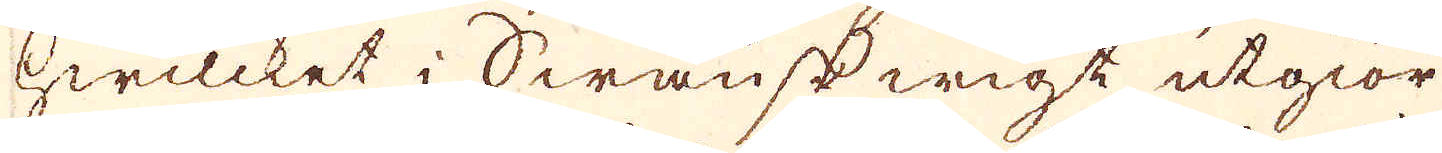hwilcket i Swänskwigt utgiör
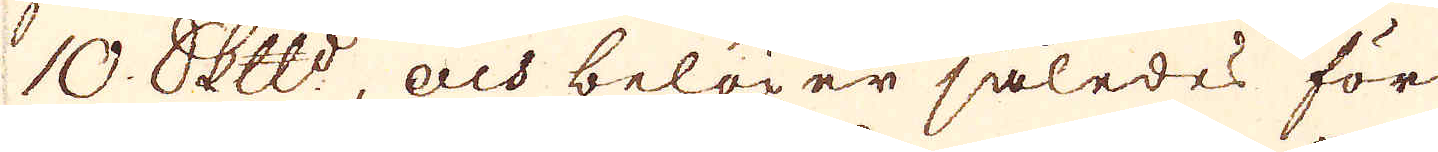10. Skeppund, och belöper således för
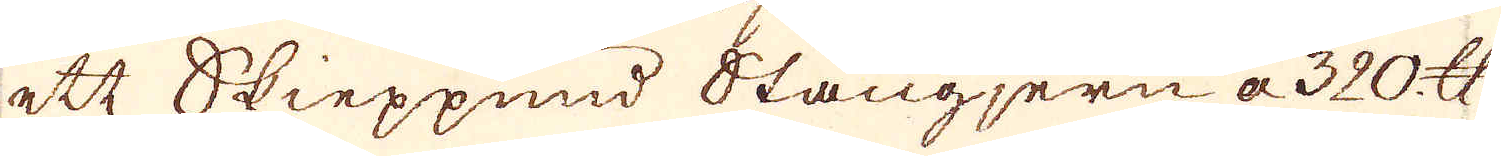ett Skieppnnd Stångjern a 320 skålpund
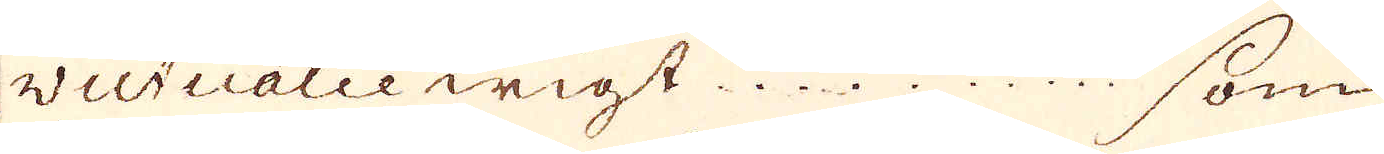victualie wigt....... som
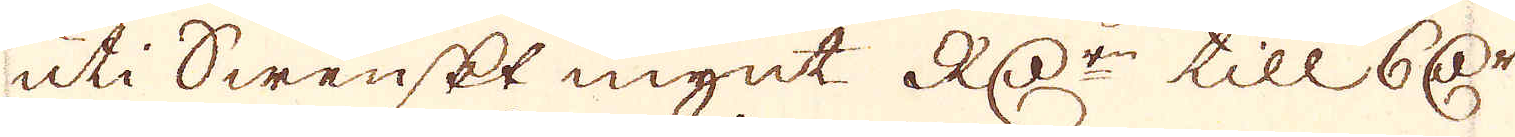uti Swenskt mynt RD:r till 6 Dr
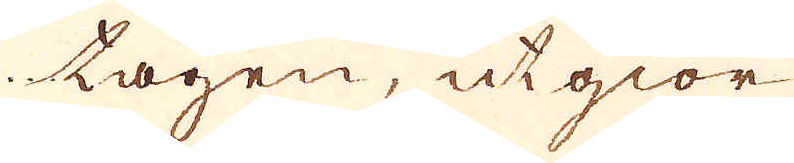tagen, utgiör
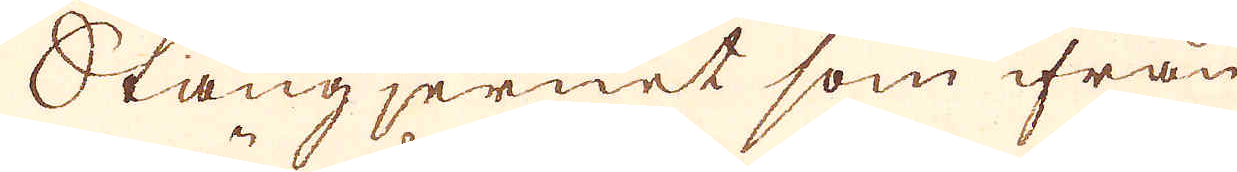Stångjernet som ifrån
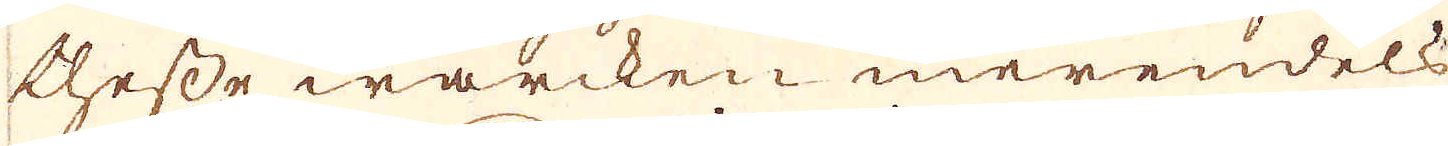thesse wärcken merendels
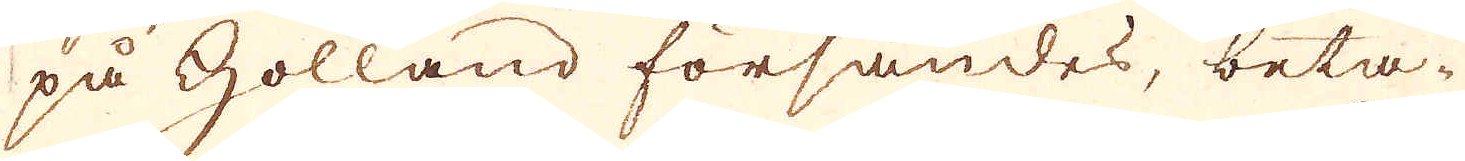på Holland försändes, beta-
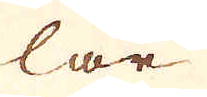lar
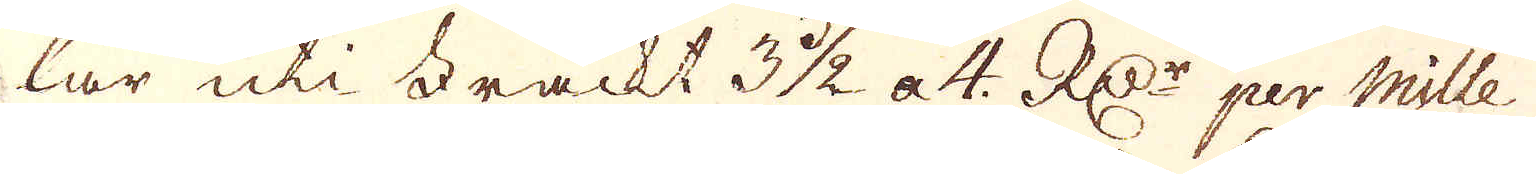lar uti Trackt 3 1/2 a 4. R:Dr per Mille
